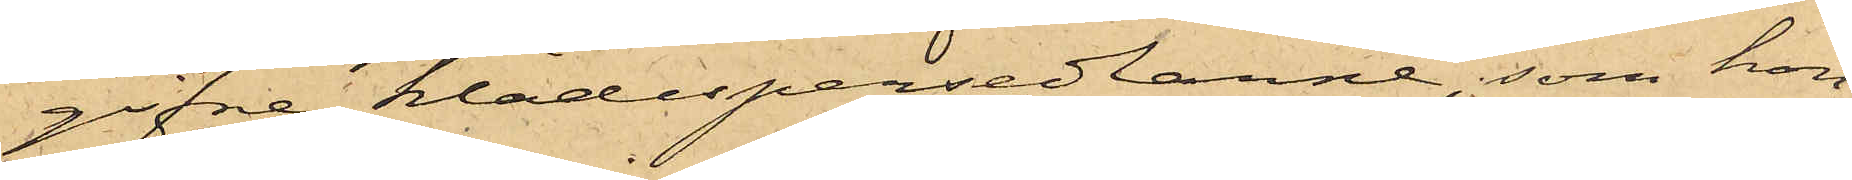gifne klädespersedlarne, som hon
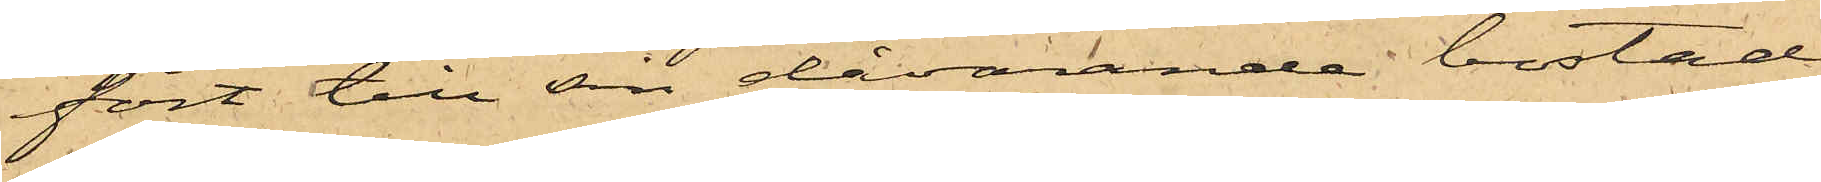fört till sin dåvarande bostad
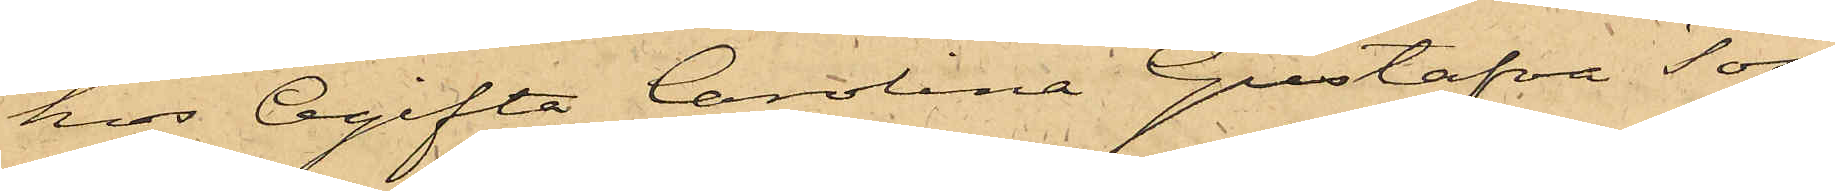hos Ogifta Carolina Gustafva Töss¬
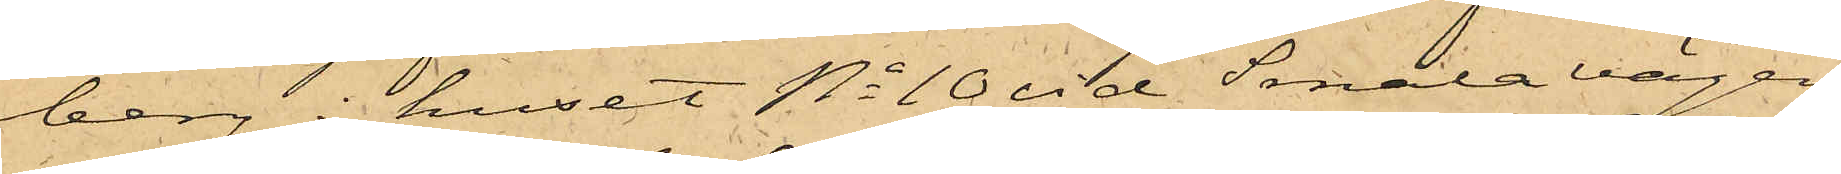berg i huset No 10 vid Smala vägen;
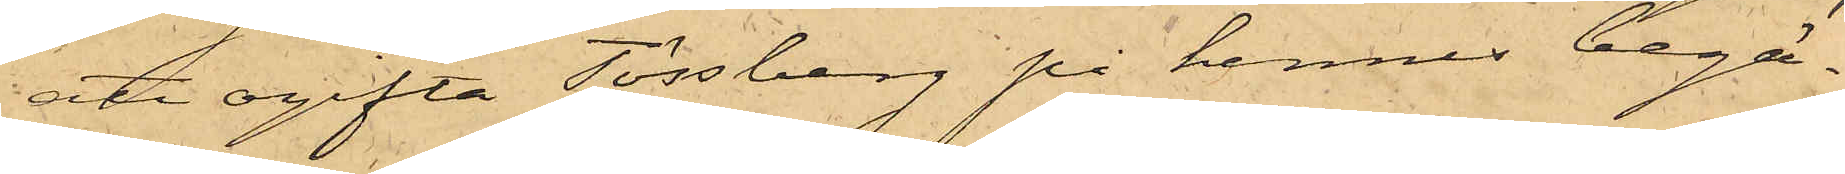att ogifta Tössberg på hennes begä¬
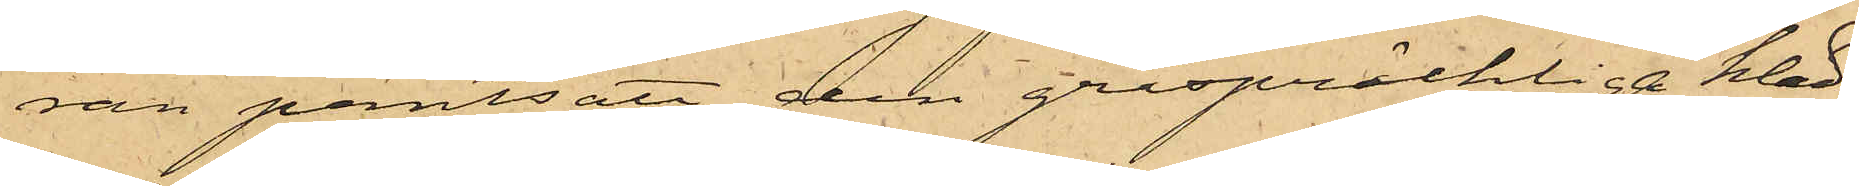ran pantsatt den gråspräckliga kläd¬
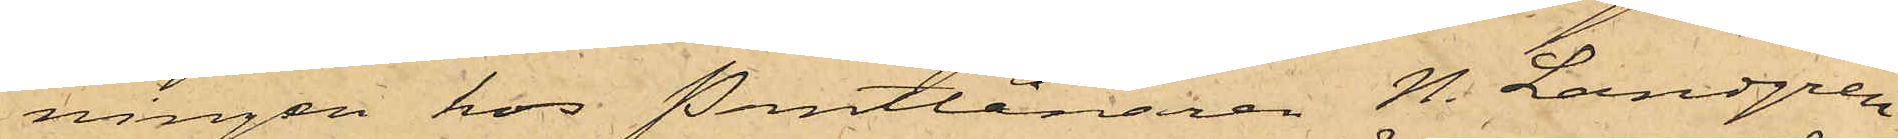ningen hos Pantlånaren N. Landgren
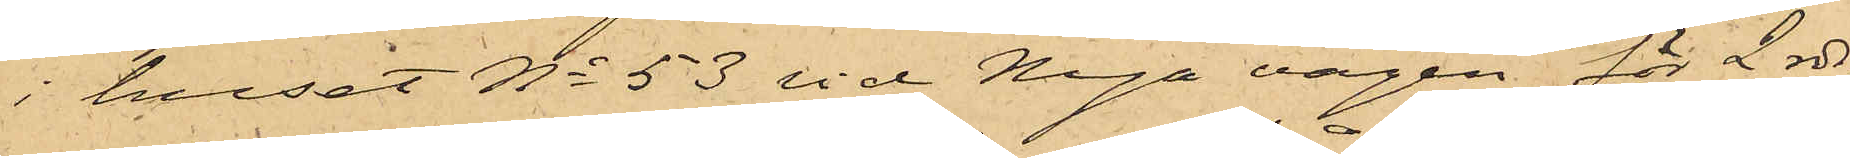i huset No 53 vid Nya vägen för 2 rdr
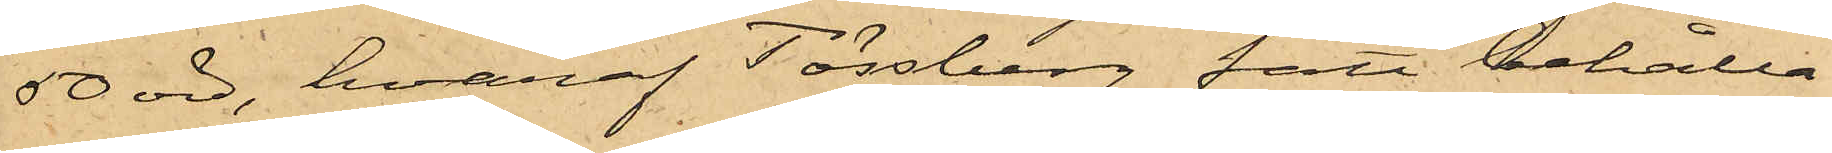50 öre, hvaraf Tössberg fått behålla
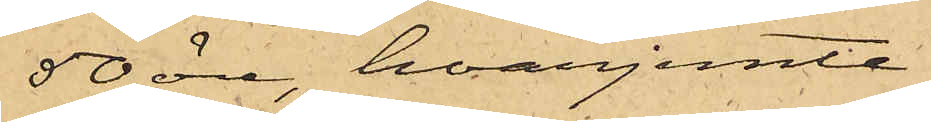50 öre, hvarjemte
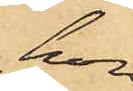hon
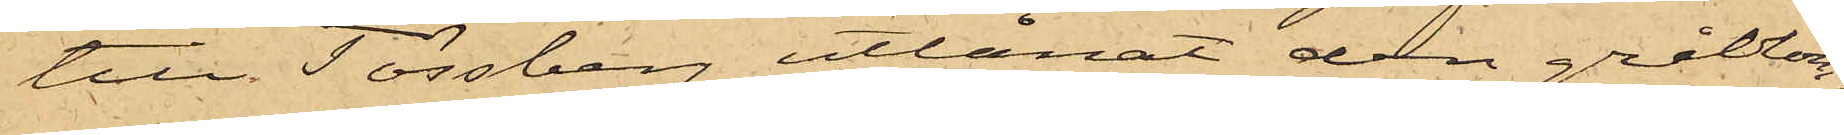till Tössberg utlånat den gråblom¬
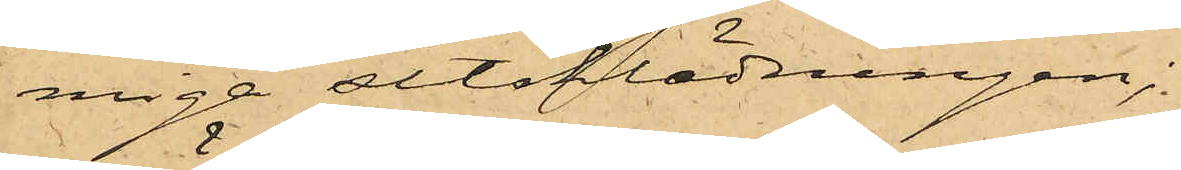miga sitsklädningen;
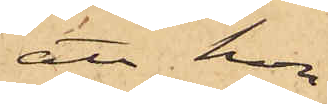att hon
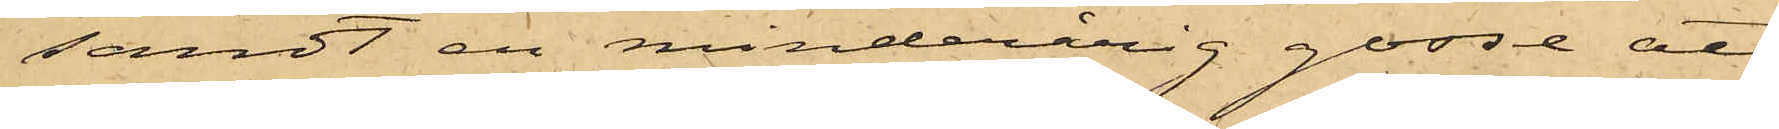sändt en minderårig gosse att
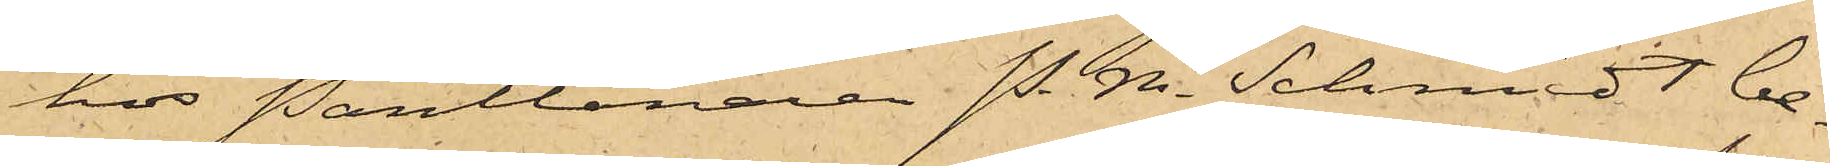hos Pantlånaren P. M. Schmidt be¬
